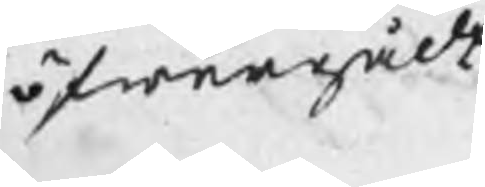öfwergådt
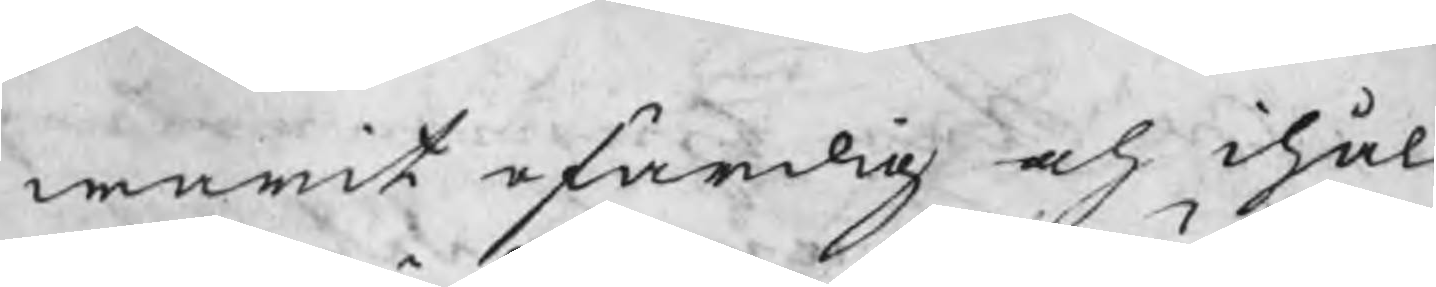warit ofärdig och ihål
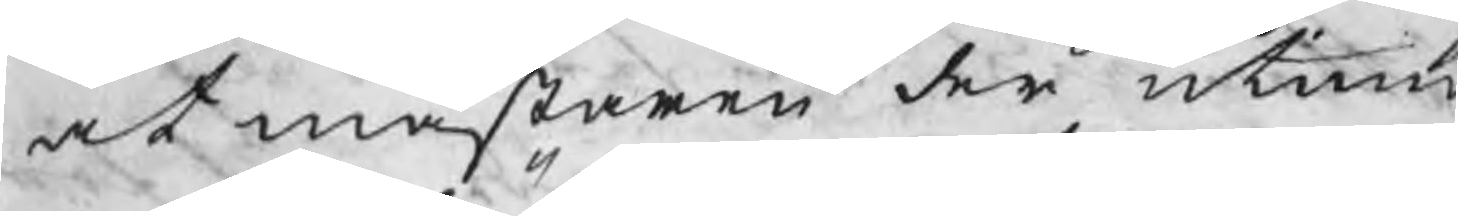at mästaren der utinn
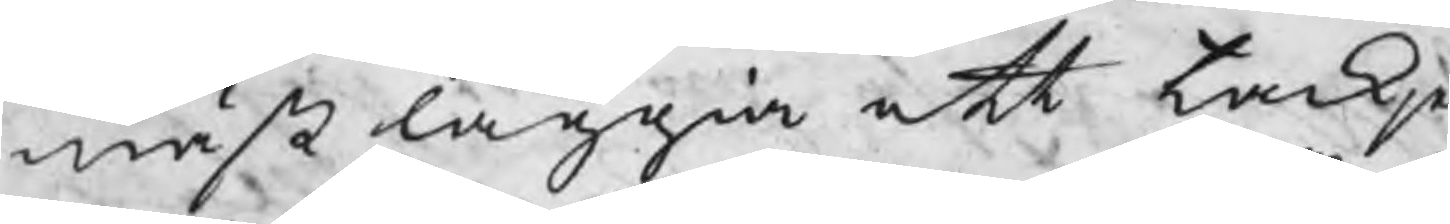måst läggia ett tackje
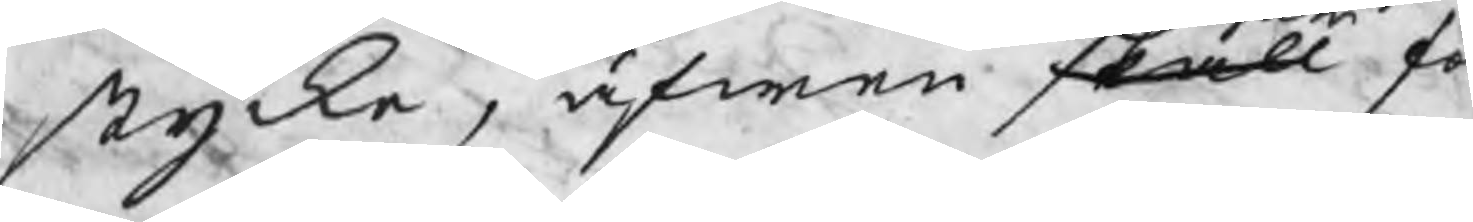stycke, äfwen skall fo
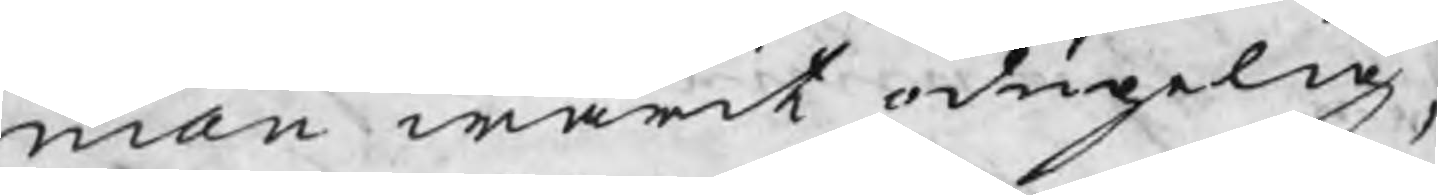man warit odugelig,
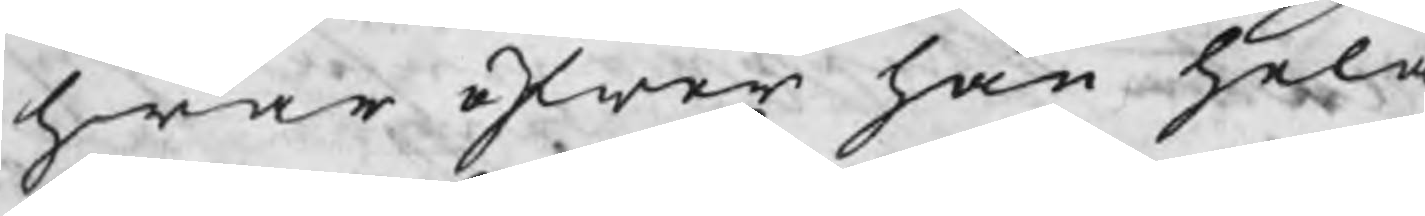hwar öfwer han hela
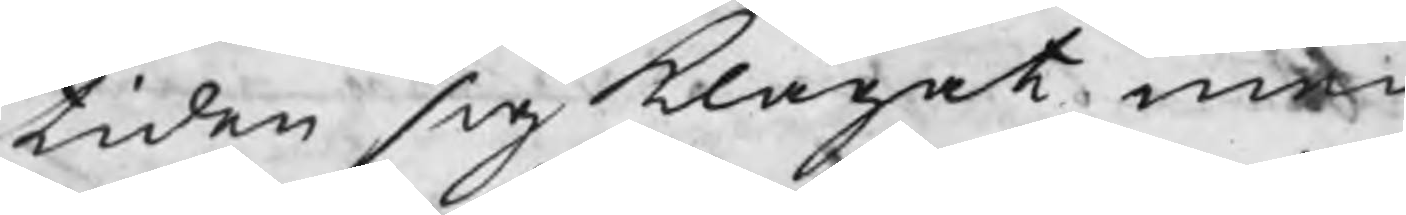tiden sig klagat, men
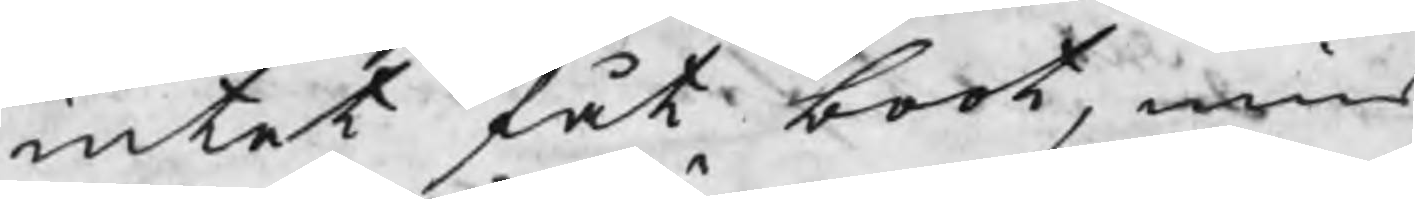intet fåt bort, mins
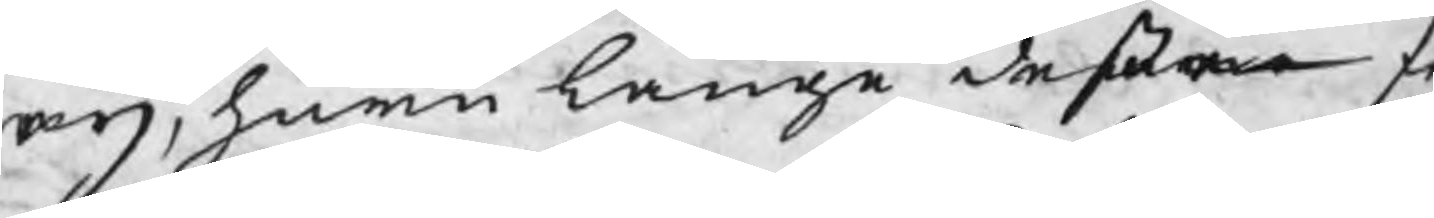eij, huru länge deße fe
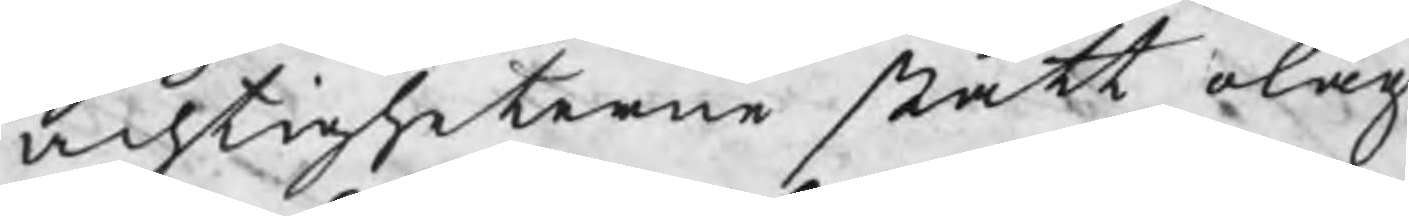achtigheterne stått olåg
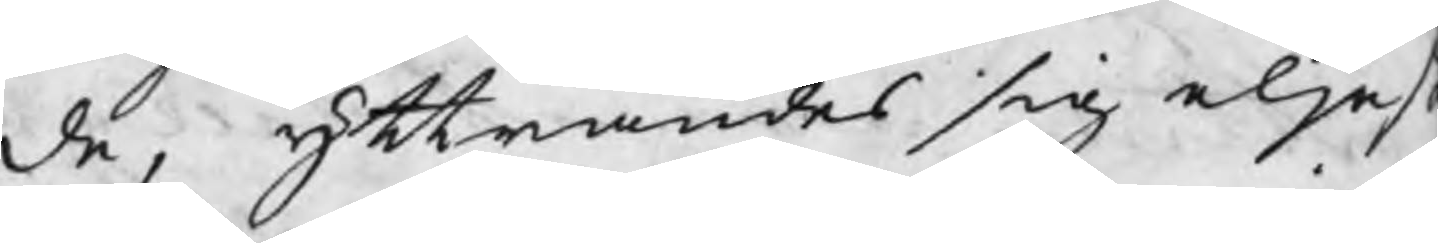de, ytrrandes sig eljes
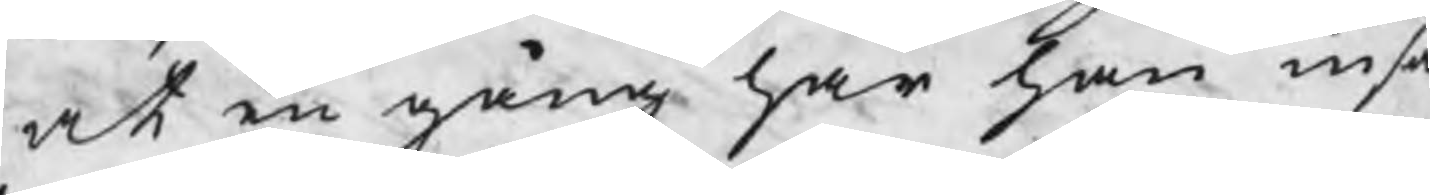at en gång har han insa
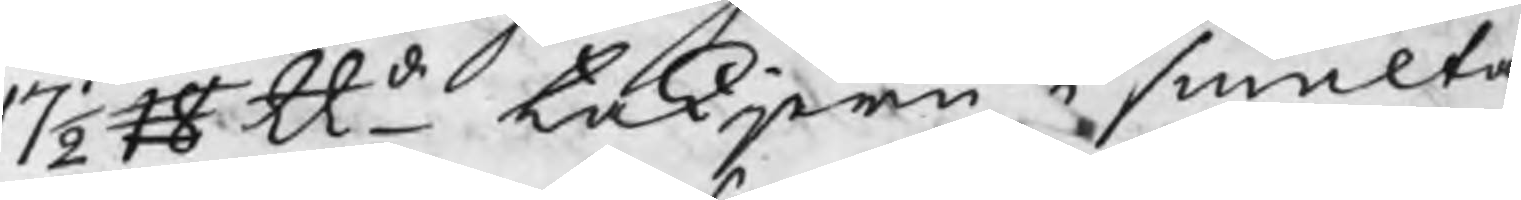17½ 18 ℔d takjern i smälte
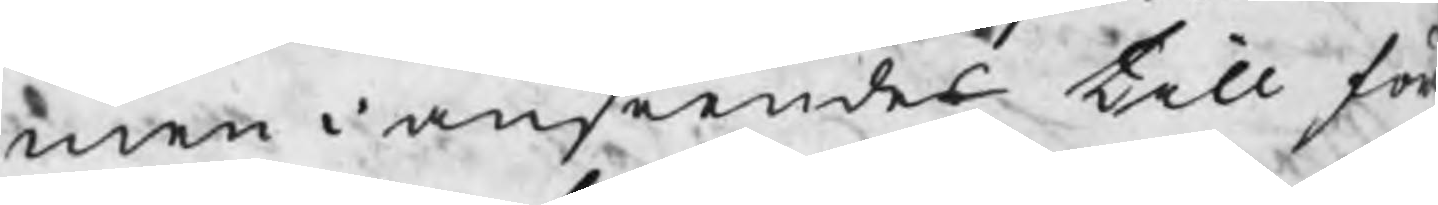men i anseendes till för
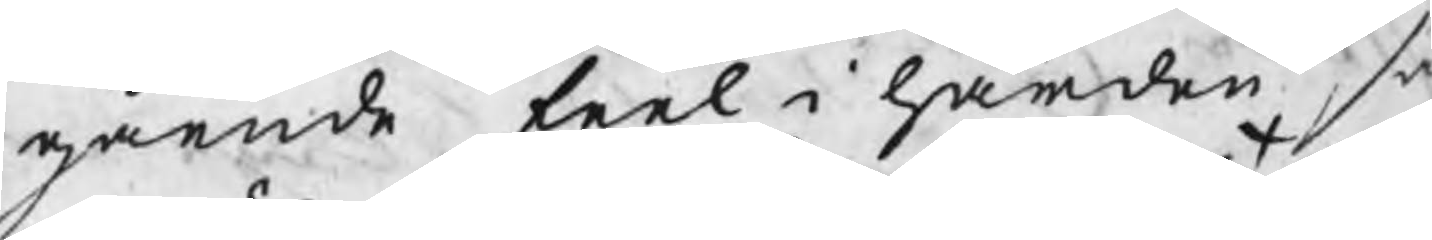gående feel i härden, så
